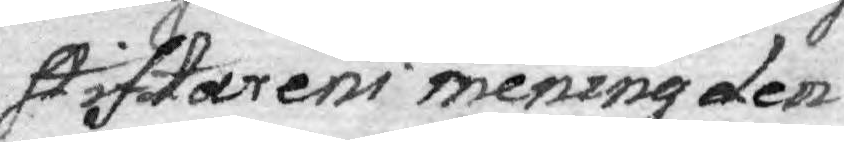stiftarens mening den
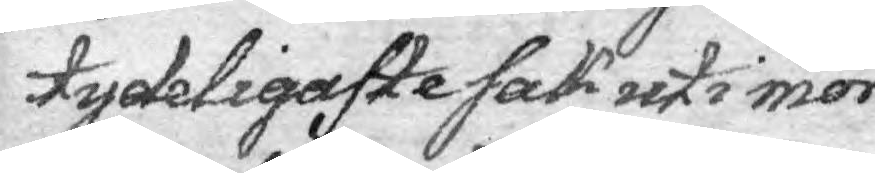tydeligaste sak uti mör¬
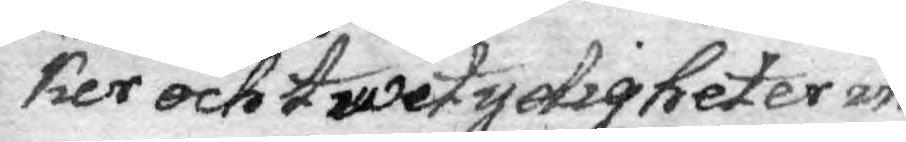ker och twetydigheter in¬
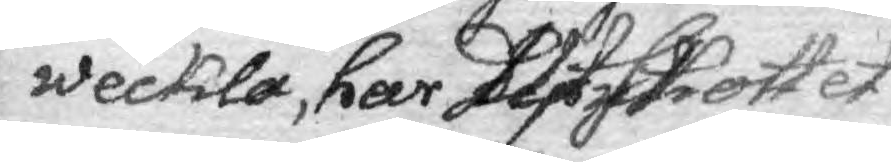weckla, har Utskottet
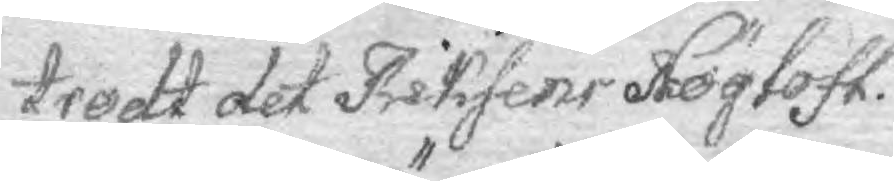trodt det Riksens Höglofl.
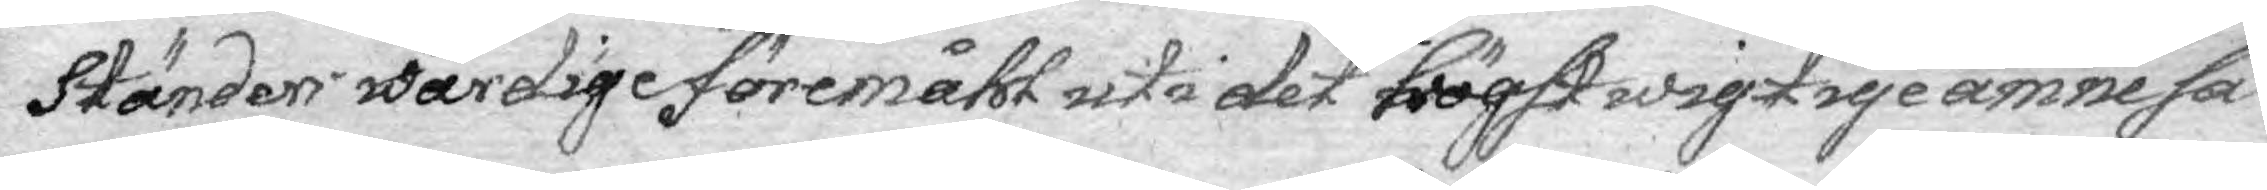Ständer wärdige föremåhl uti detta högst wigtige ämne sä¬
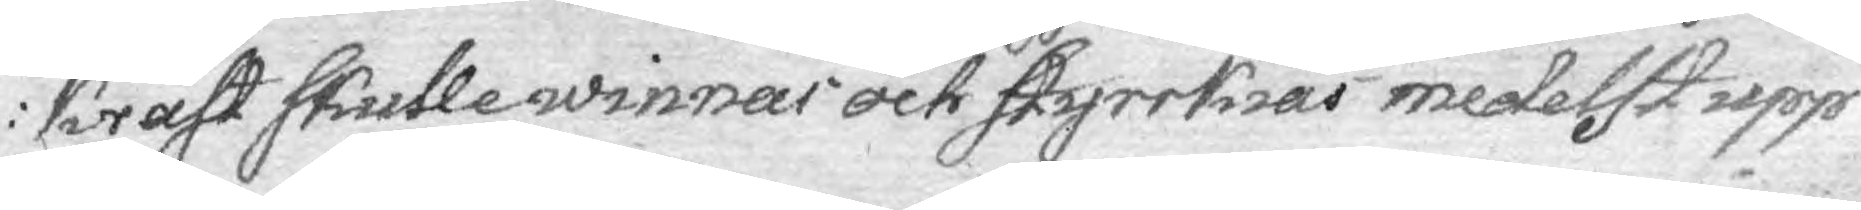krast skulle winnas och styrrkias medelst upp¬
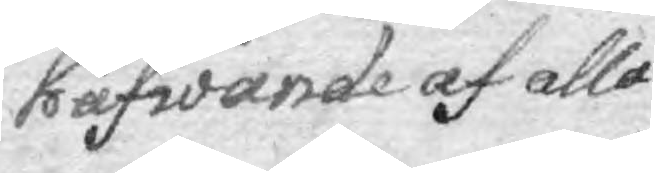häfwande af alla
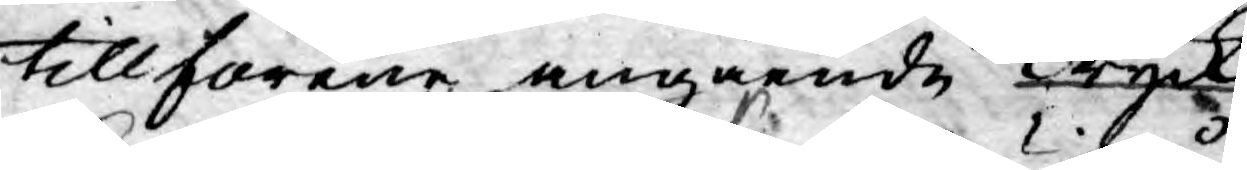tillförene angående Skrifter, Tryck,
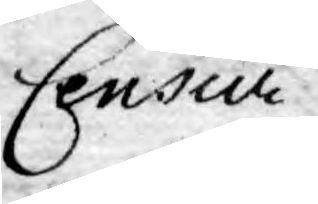Censur 
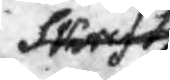Skrifter
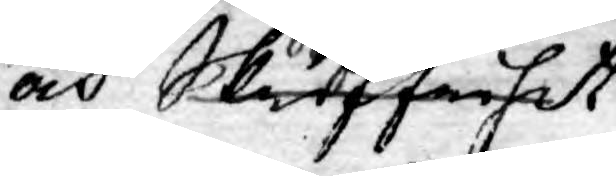och Skriffrihet
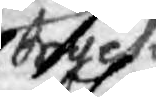Tryck
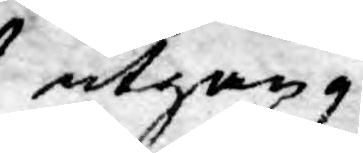utgång¬
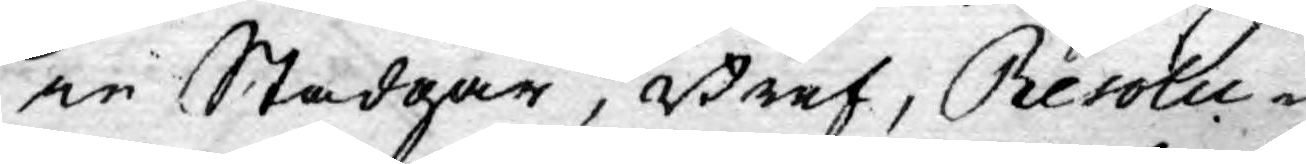ne Stadgar, Bref, Resolu¬
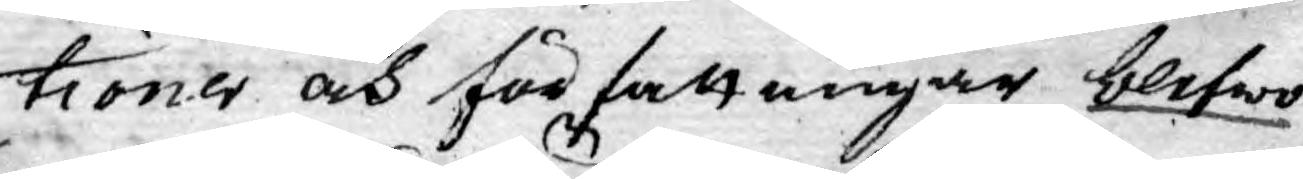tioner och författningar blifwo
